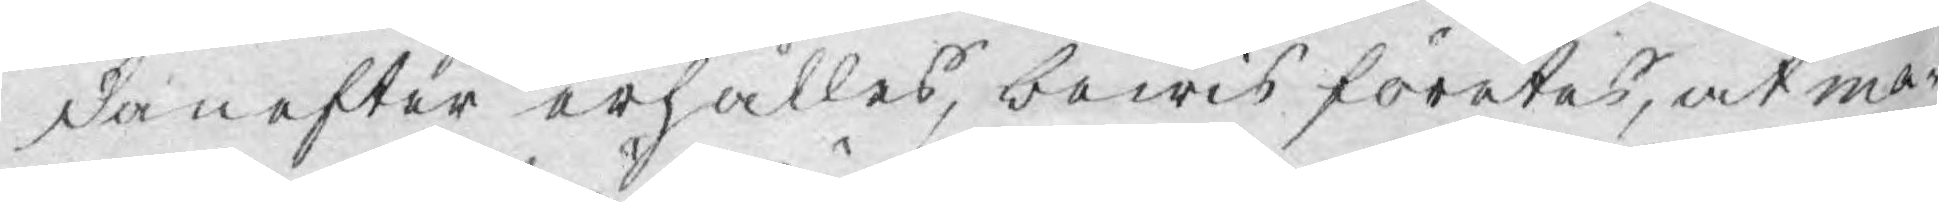danefter erhålles, bewis företes, at ma¬
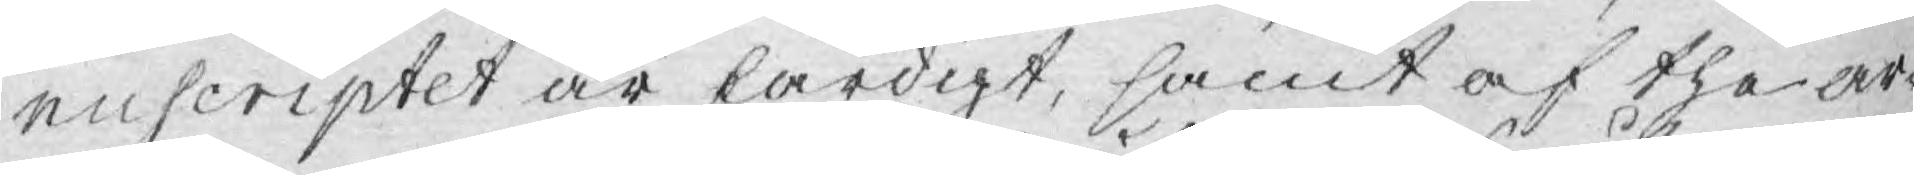nuscriptet är färdigt, samt af the ar¬
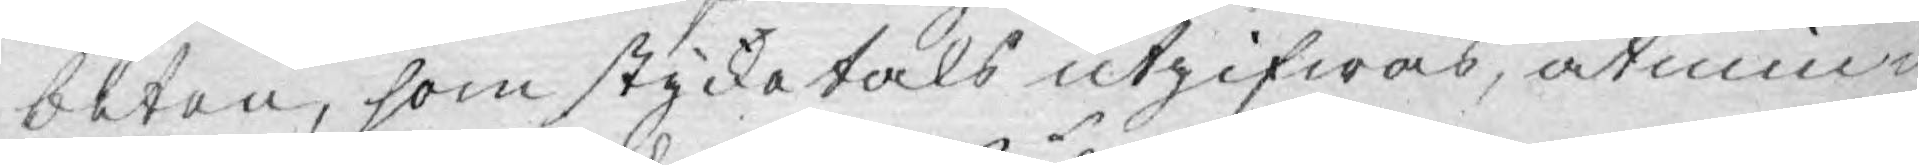beten, som stycketals utgifwas, åtmin¬
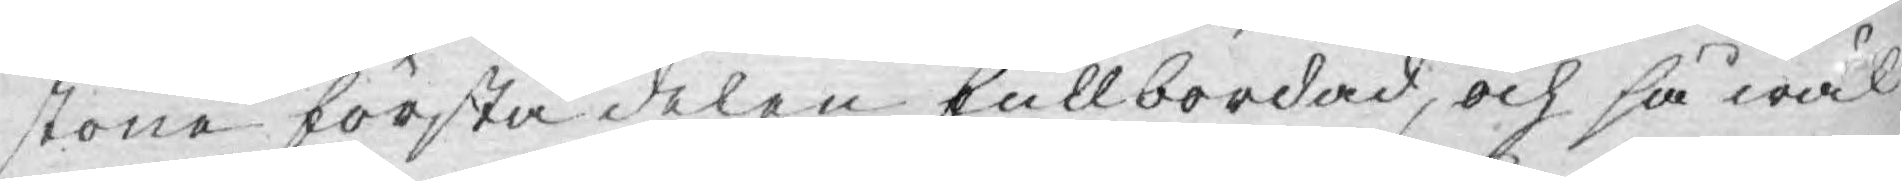stone första delen fullbordad, och så wäl
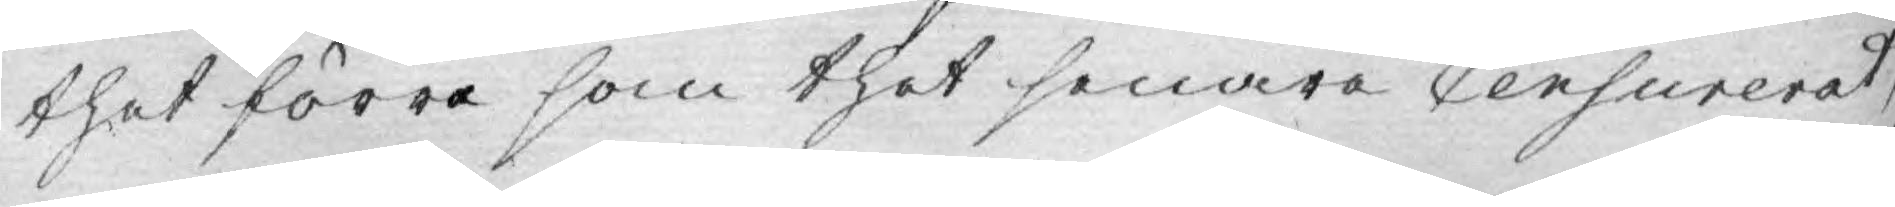thet förra som thet senare Censurerat;
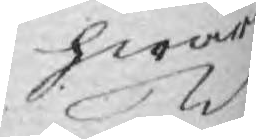hwar
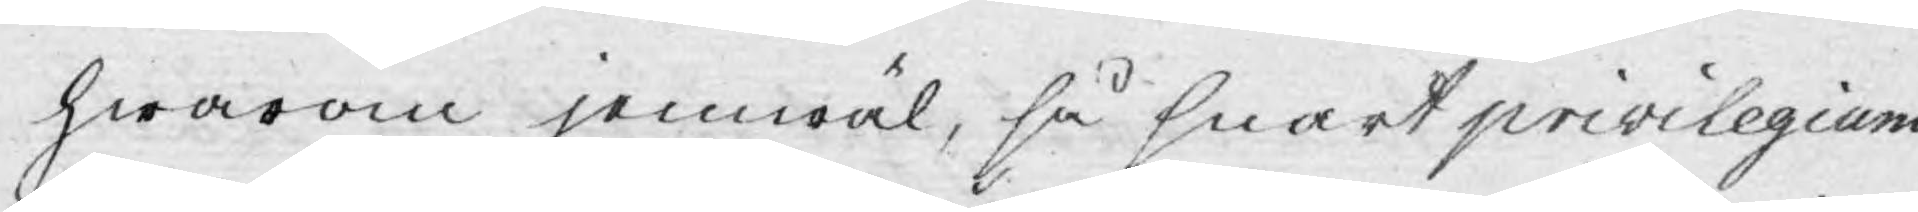hwarom jemwäl, så snart privilegium
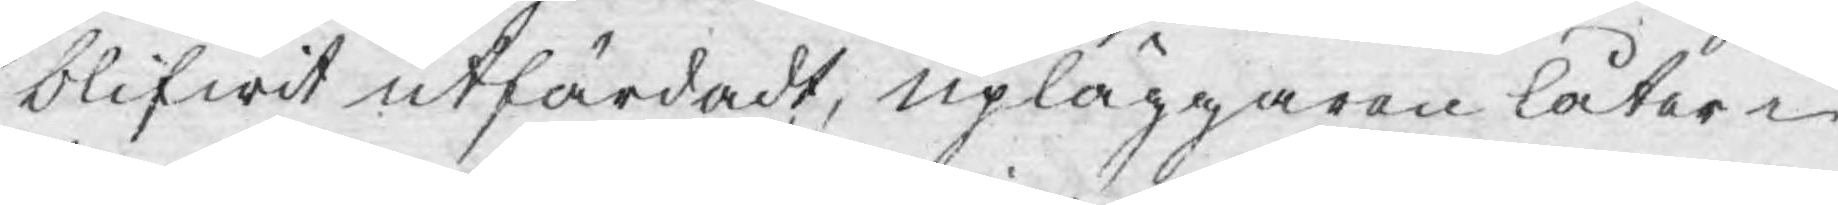blifwit utfärdadt, upläggaren låter i
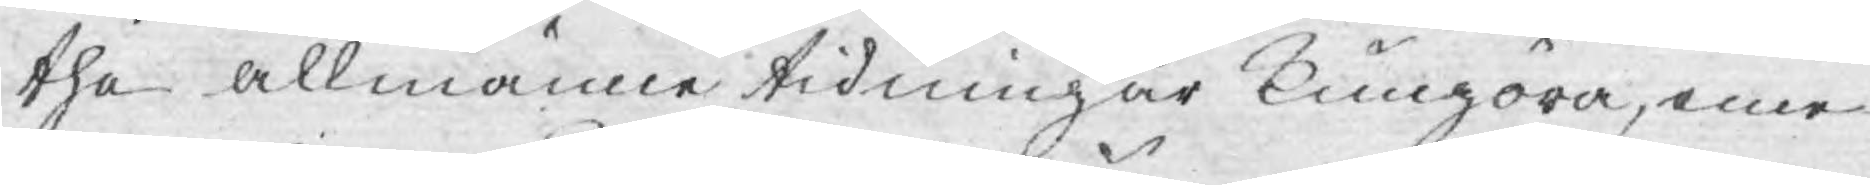the allmänne tidningar kungöra, eme¬
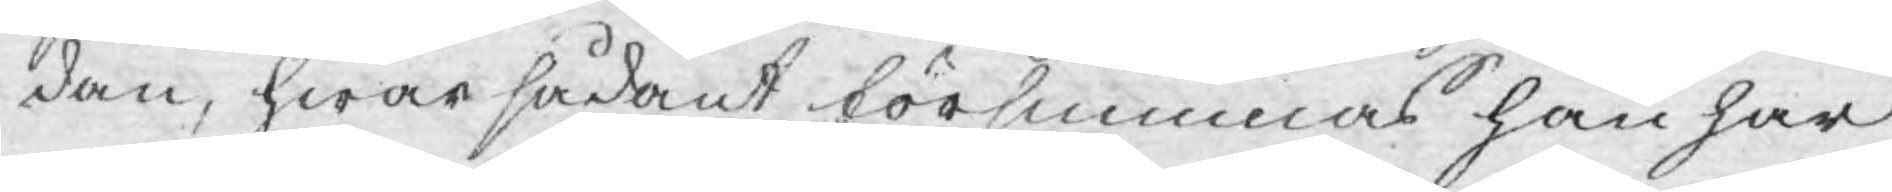dan, hwar sådant försummas han har
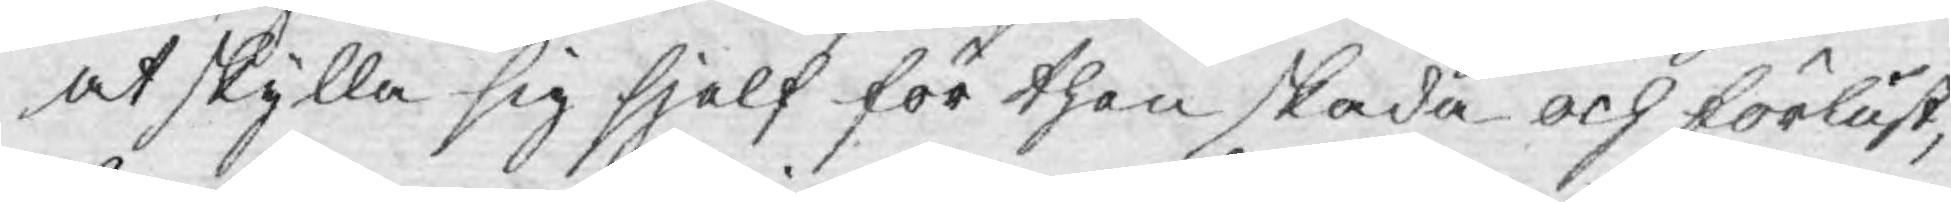at skylla sig sjelf för then skada och förlust,
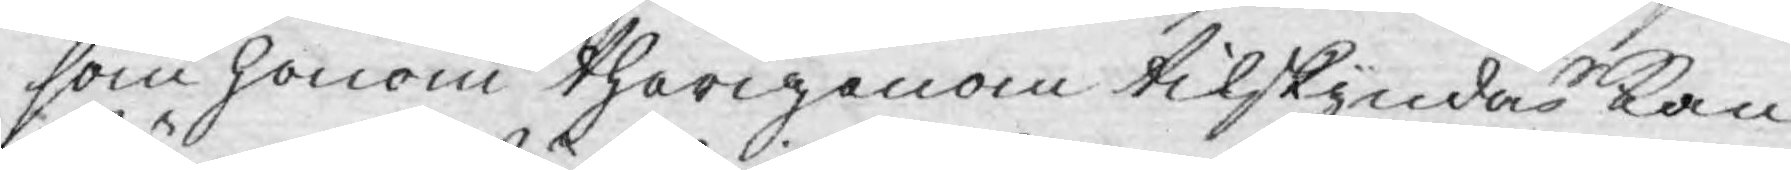som honom therigenom tilskyndas kan.
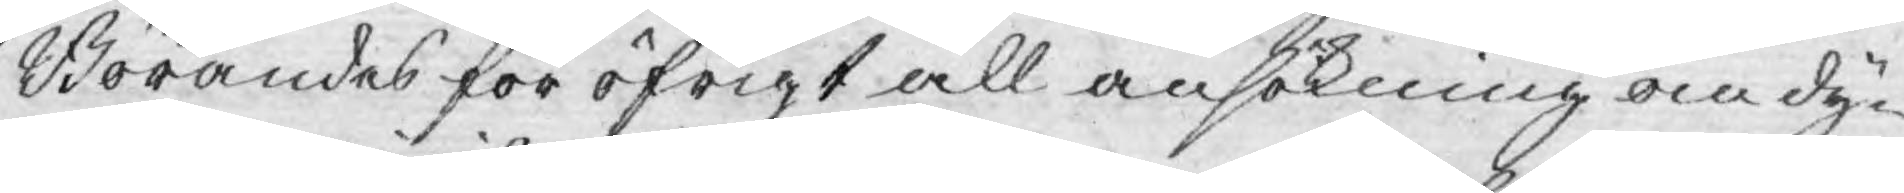Börandes för öfrigt all ansökning om dy¬
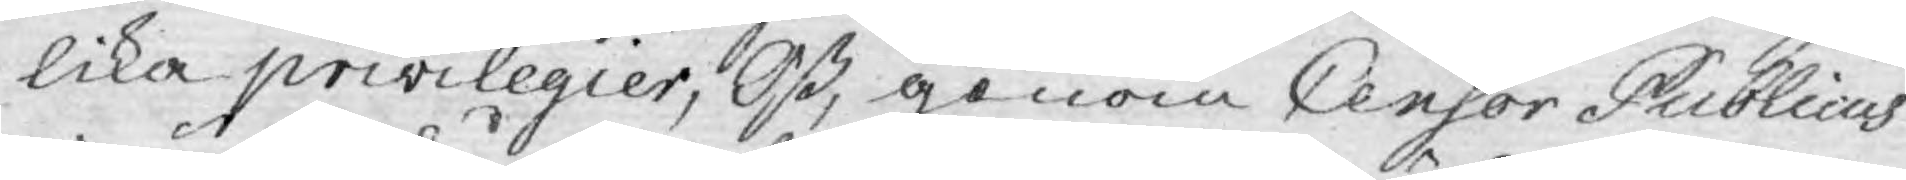lika privilegier, Oß, genom Censor Publicus
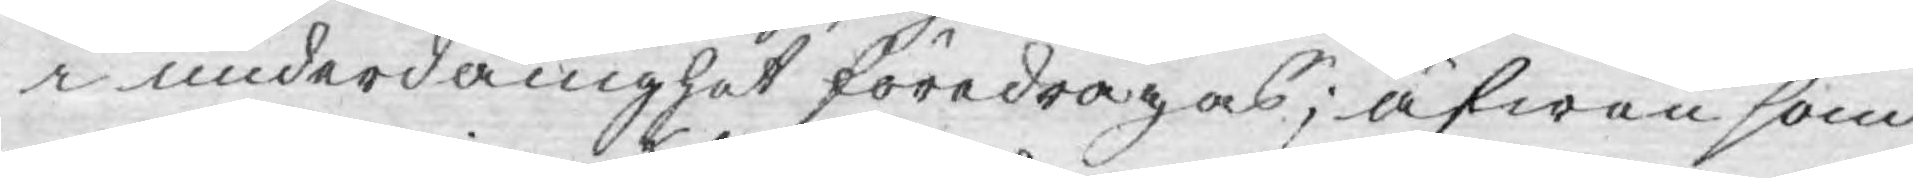i underdånighet föredragas; äfwen som
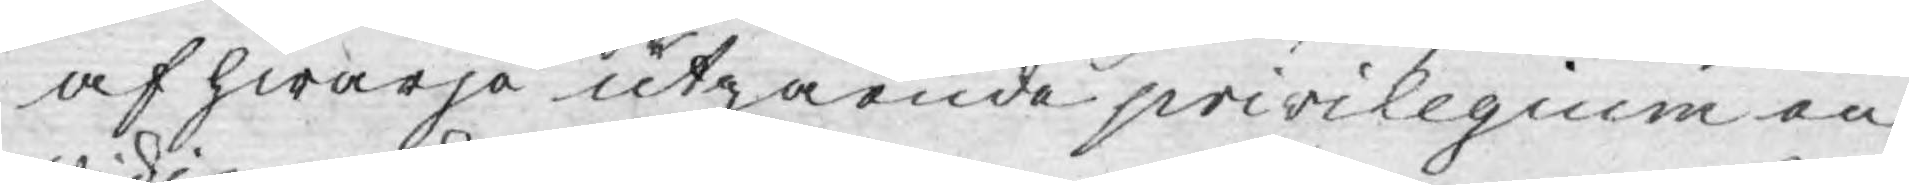af hwarje utgående privilegium en
